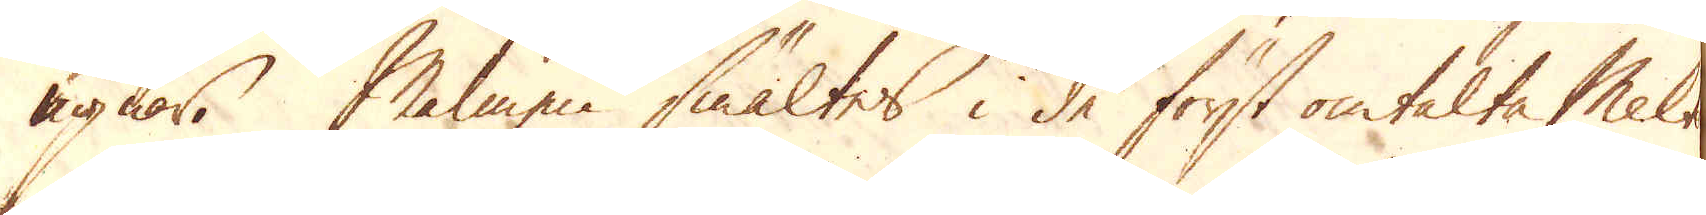ugnar. Malmen smältes i de först omtalte Melt
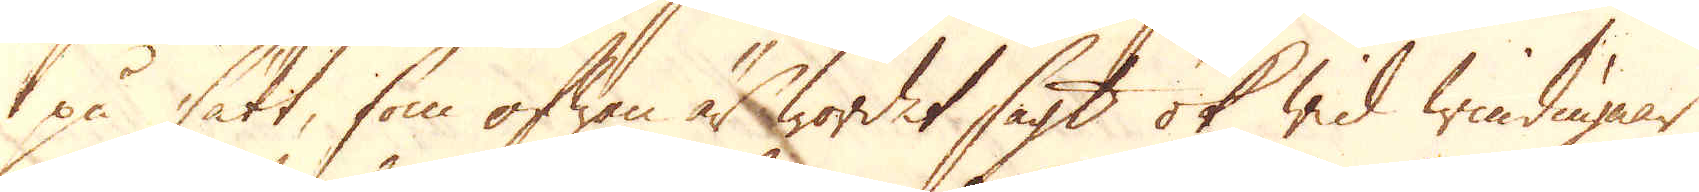på sätt, som ofwan är wordet sagt ok wid windugnar
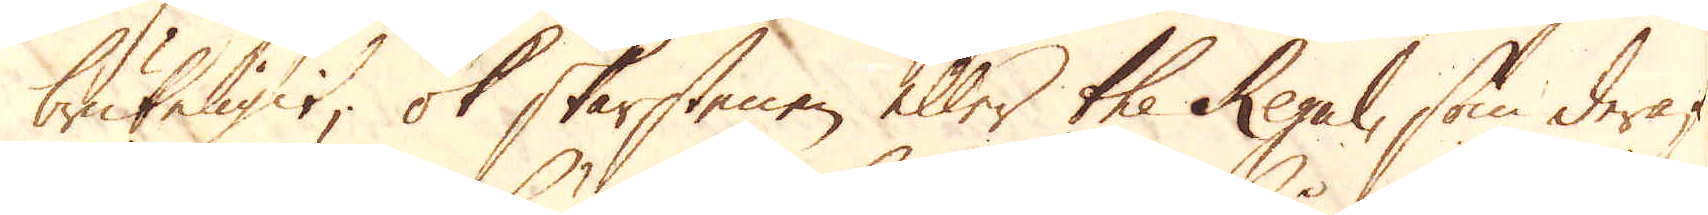brukeligit; ok skorstenen eller the Regal, som deraf
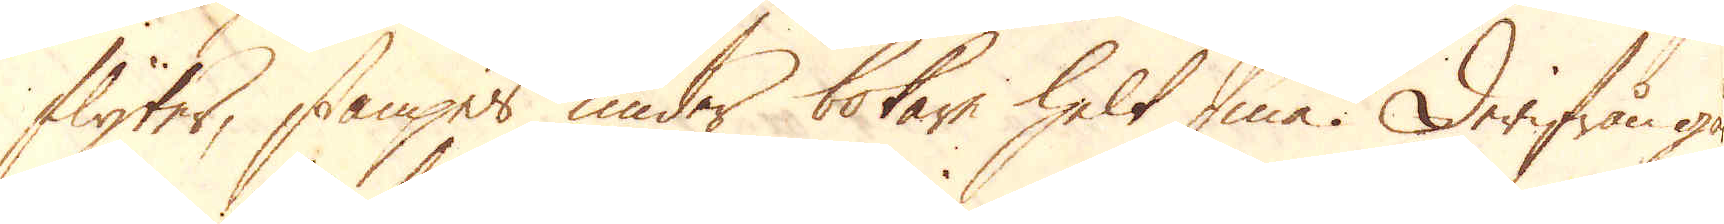flyter, stampes under bokare helt små. Derifrån gå
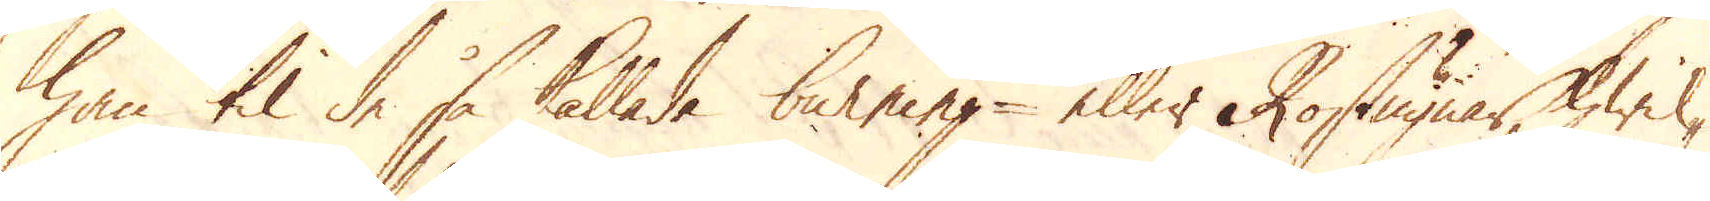han til de så kallade burning- eller Rostugnar, hwil-
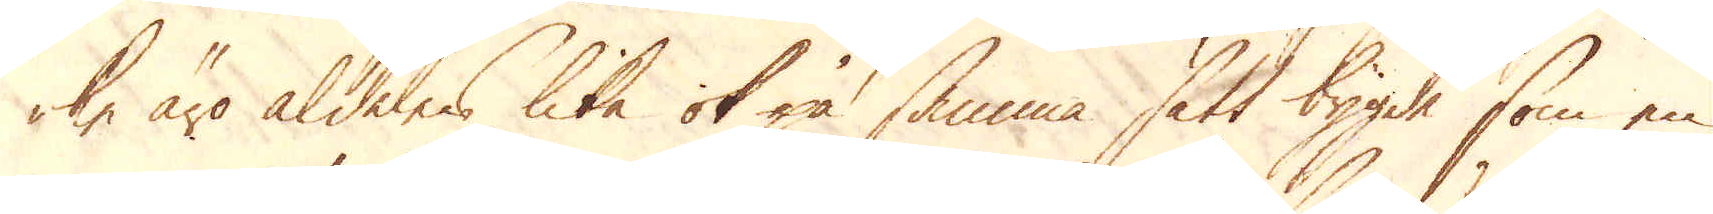ke äro aldeles lika ok på samma sätt bygde som en
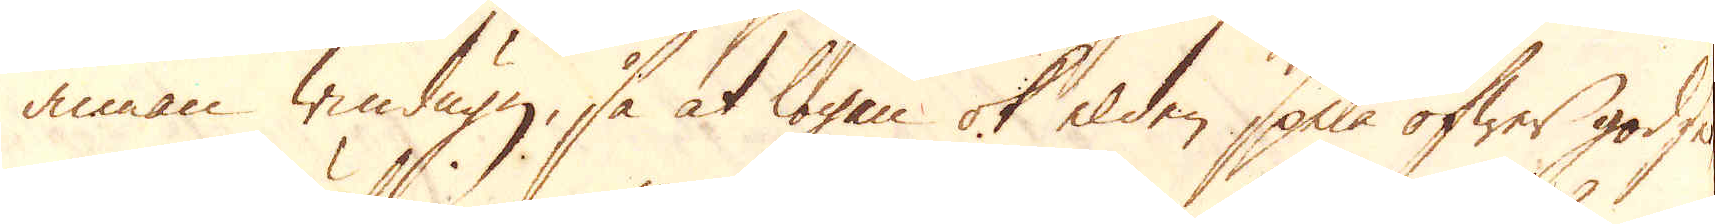annan Windugn, så at logan ok elden spika öfwer godset
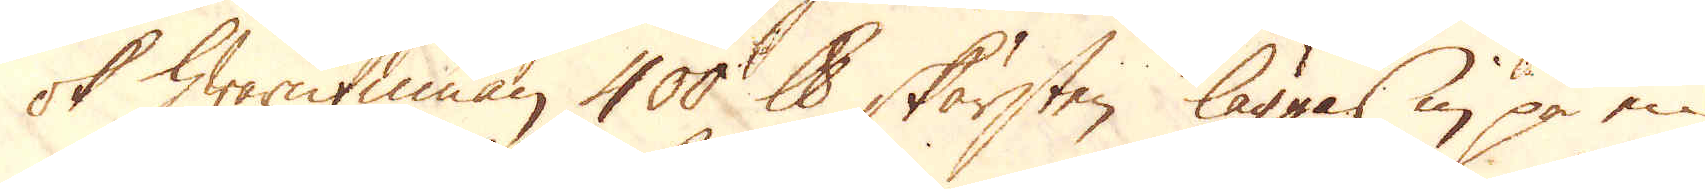ok hwarutinnan 400 skålpund skärsten läggas in på en
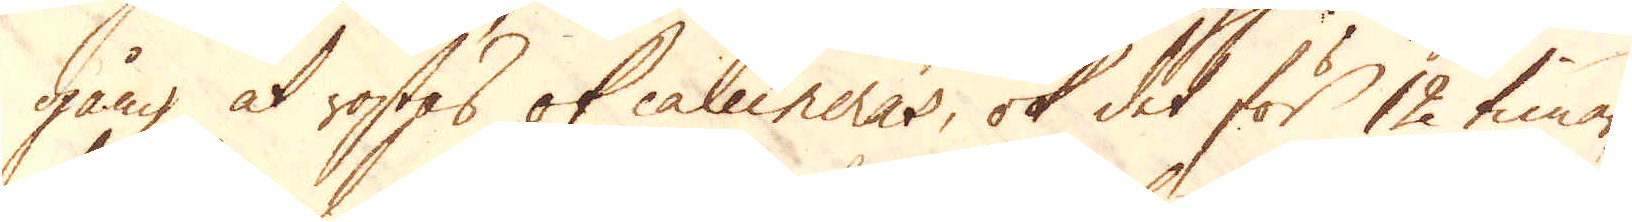gång at rostas ok calcineras, ok det för 12 timar,
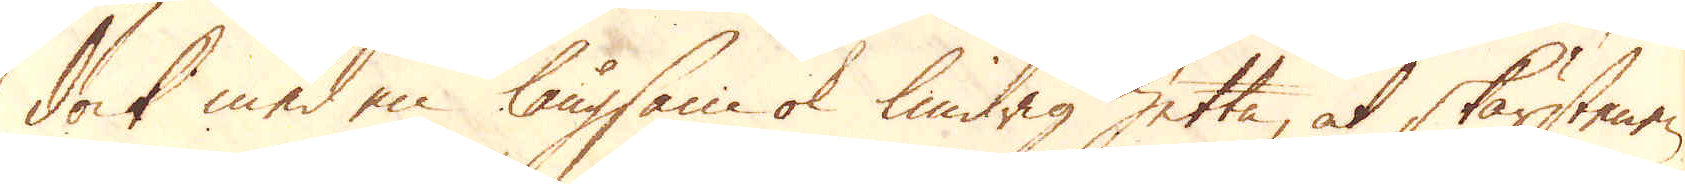dock med en långsam ok lindrig hetta, at skärstenen
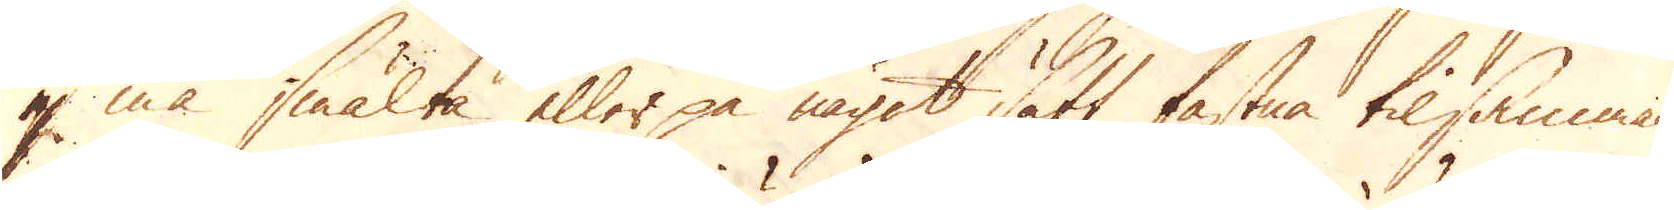ej må smälta eller på något sätt fastna tilsammans
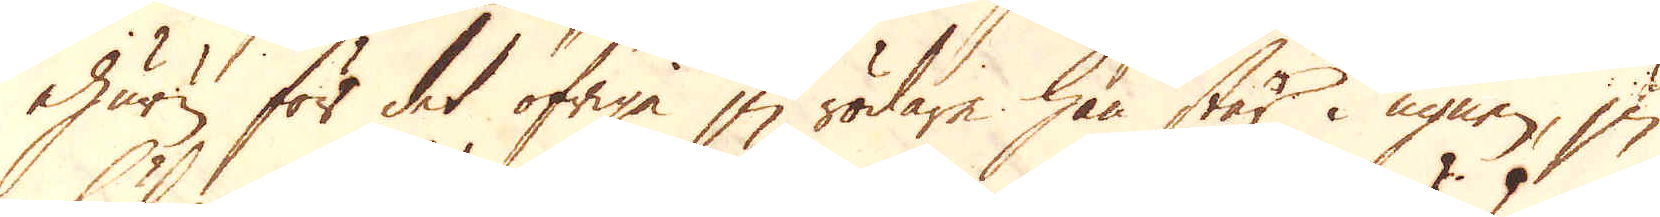ehuru för det öfriga ju rödare han står i ugnen, ju
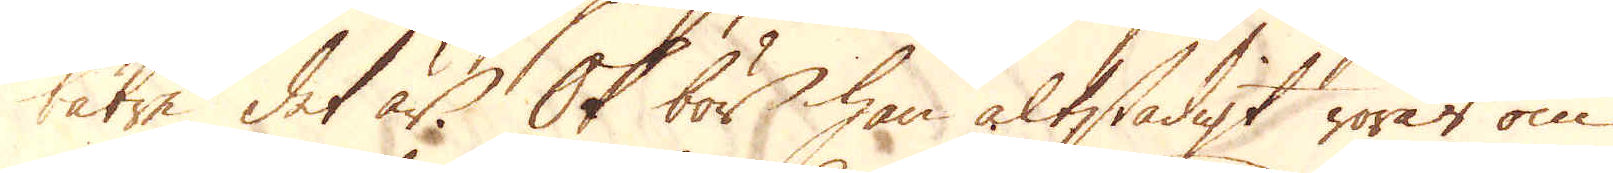bätre det är. Ok bör han altstadigt rörat om
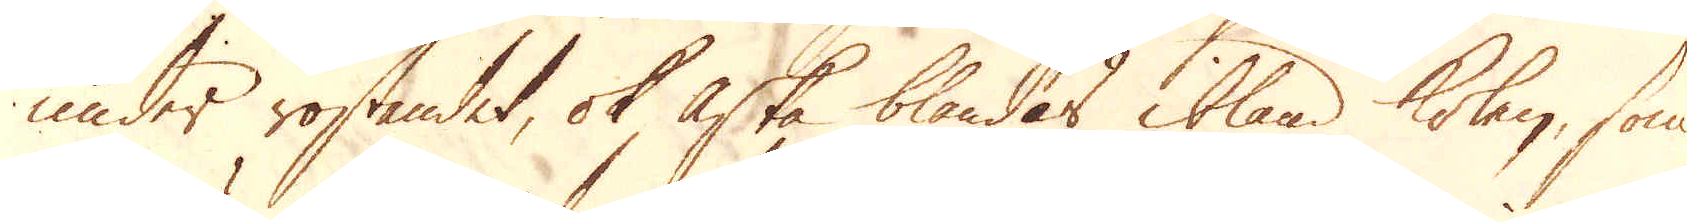under rostandet, ok aska blandas ibland kolen, som
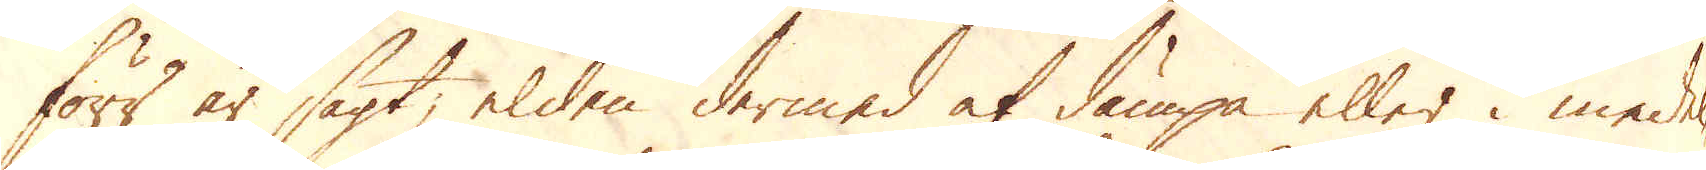förr är sagt, elden dermed at dämpa eller i medel-
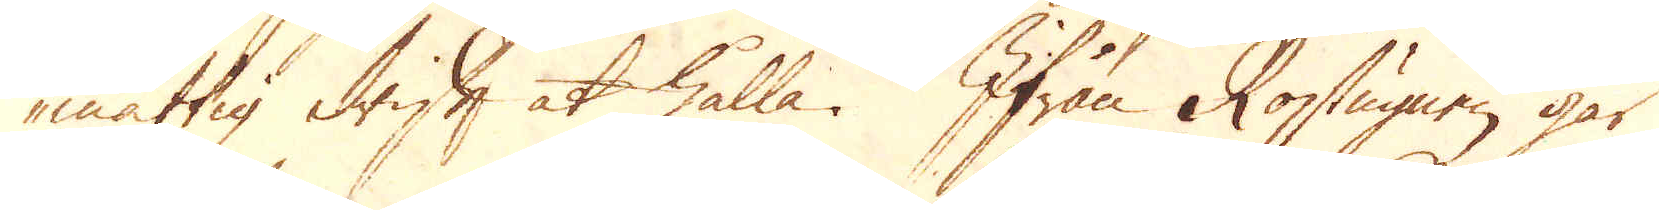måttig drift at hålla. Ifrån Rostugnen går
